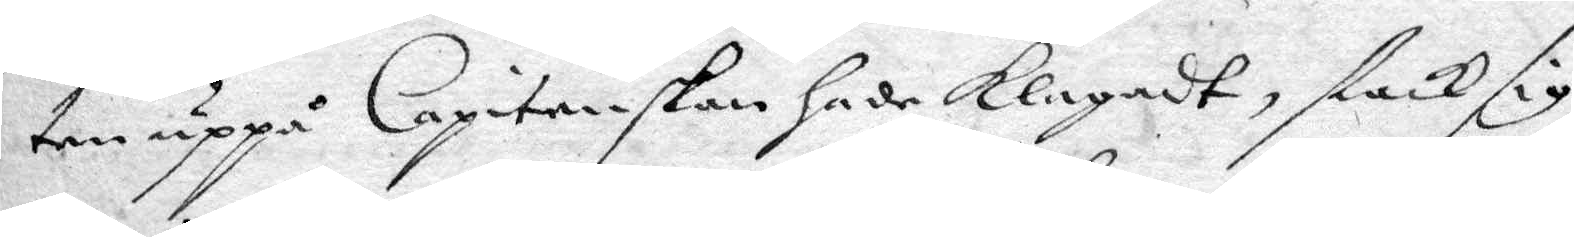ten uppå Capitenskan hade klagadt, stack sig
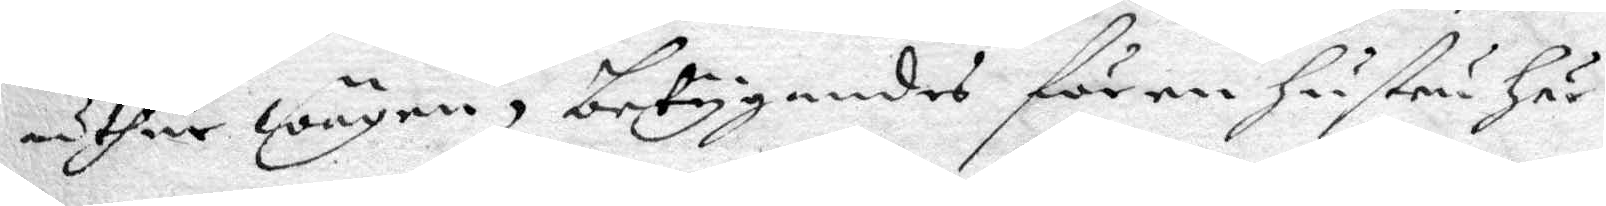uthur wägen, betygandes för en hustru här
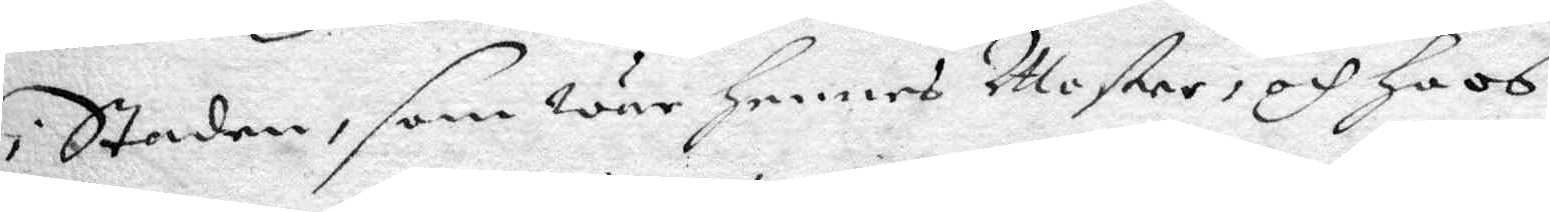i Staden, som war hennes Moster, och hoos
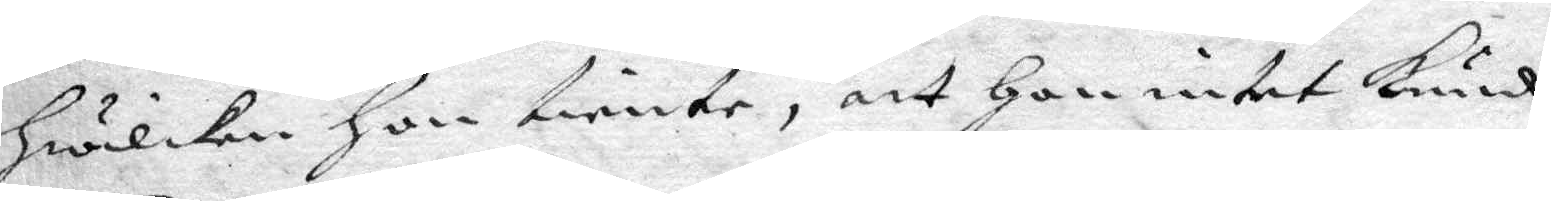hwilken hon tiente, att hon intet kunde
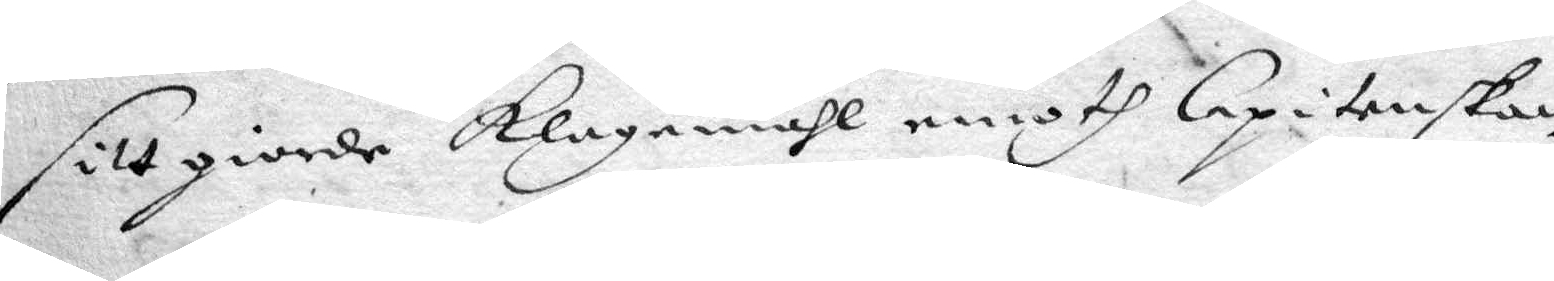sitt giorde klagomåhl emoth Capitenskan
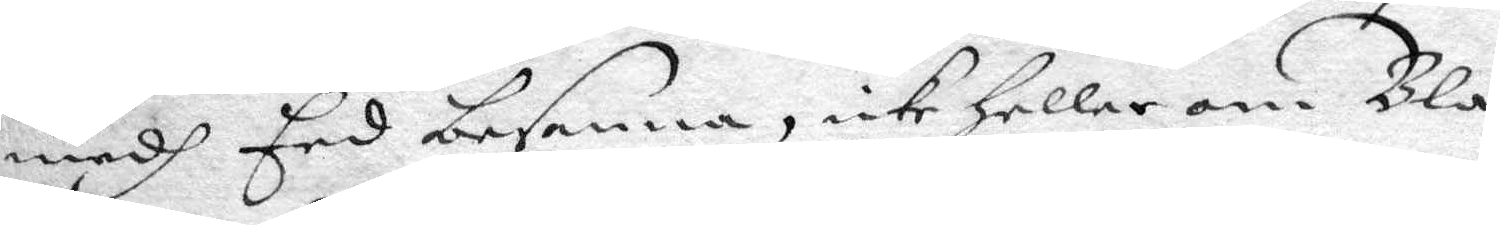medh Eed besanna, icke heller om Blå¬
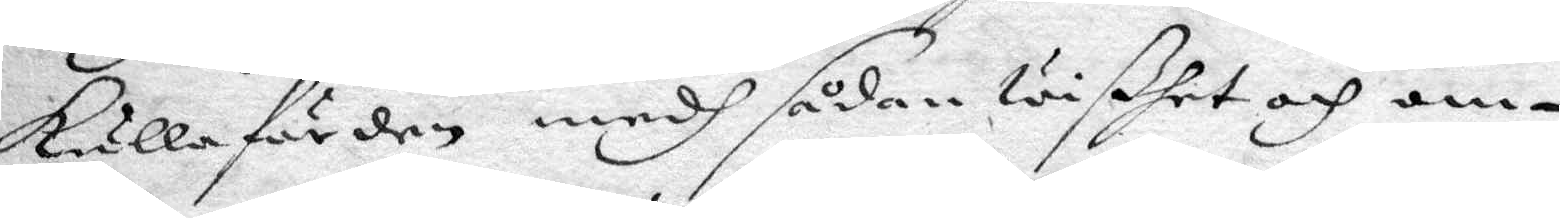kullafärden medh sådan wißhet och om¬
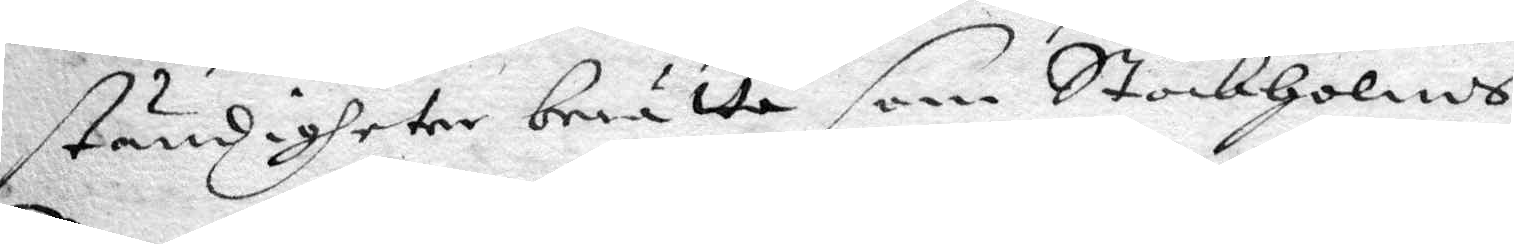ständigheter berätta som Stockholms
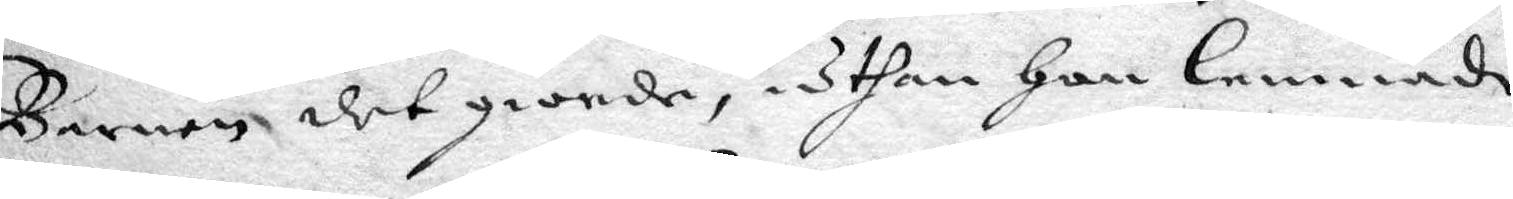Barnen det giorde, uthan hon lemmnade
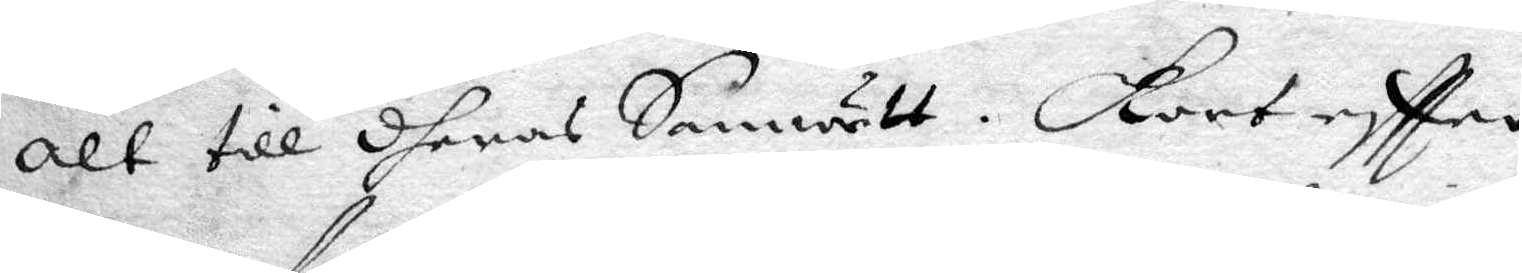alt till dheras Samwett. Kort eftter
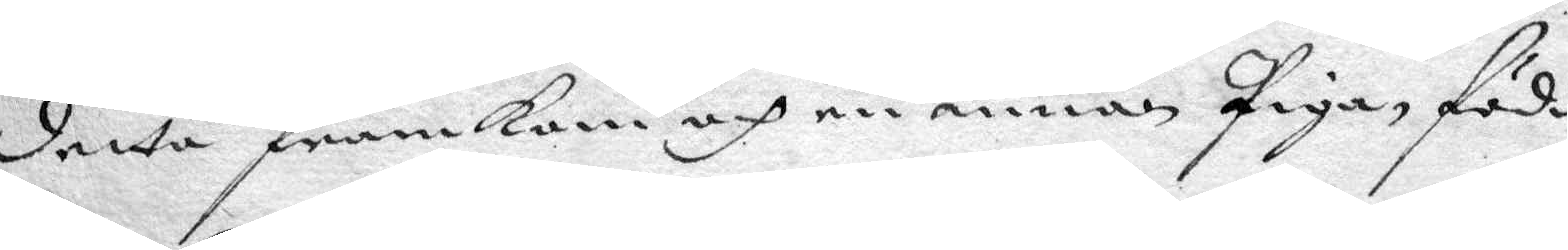detta framkom och en annan Piga, född
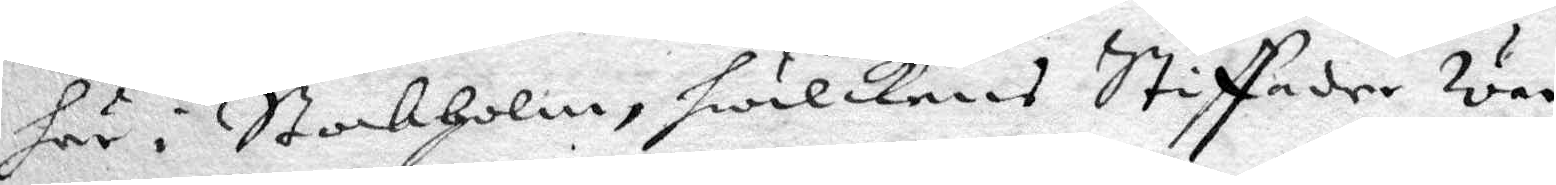här i Stockholm, hwilkens Stiffader war
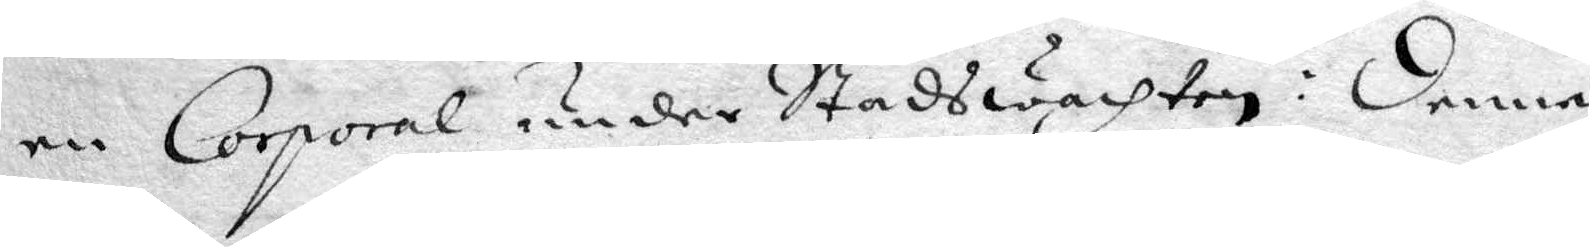en Corpral under Stadswachten: denna
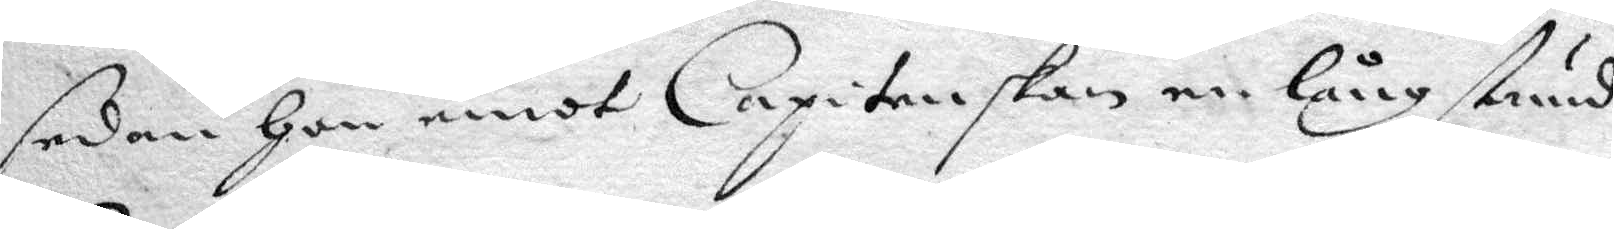sedan hon emot Capitenskan en lång stunf
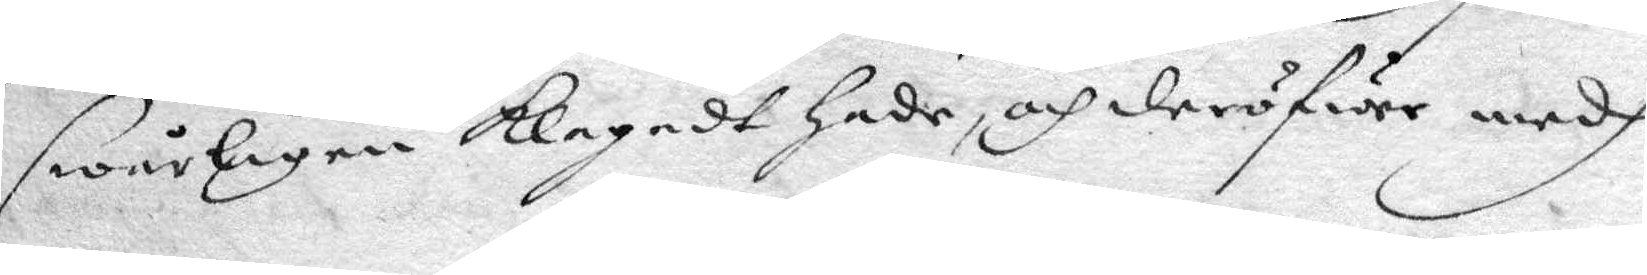swårligen klagadt hade och d
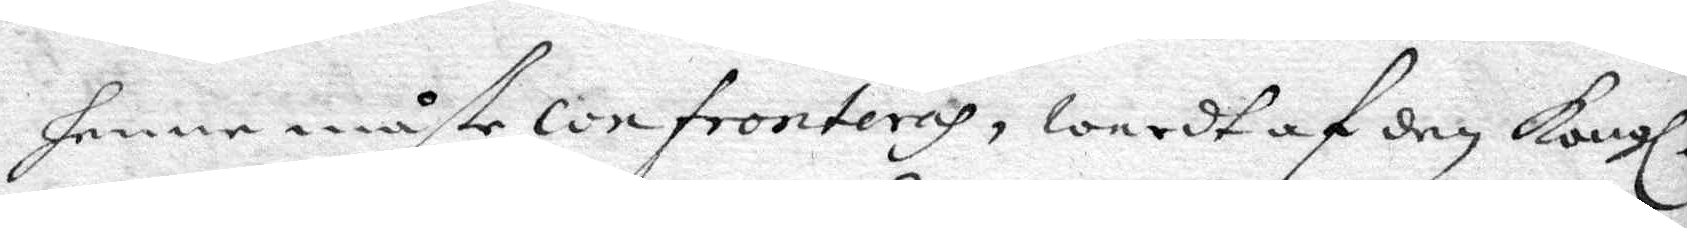henne måste confronteras, wardt af den Kongl.
